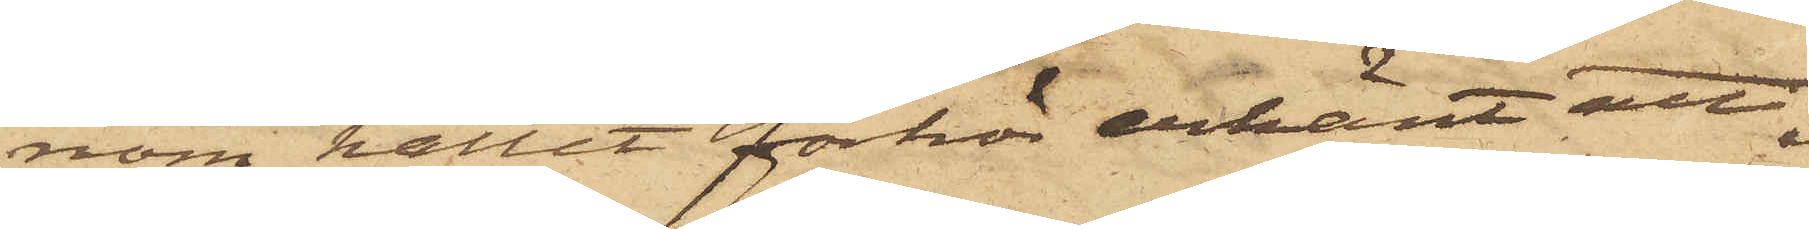nom hållit förhör erkänt att
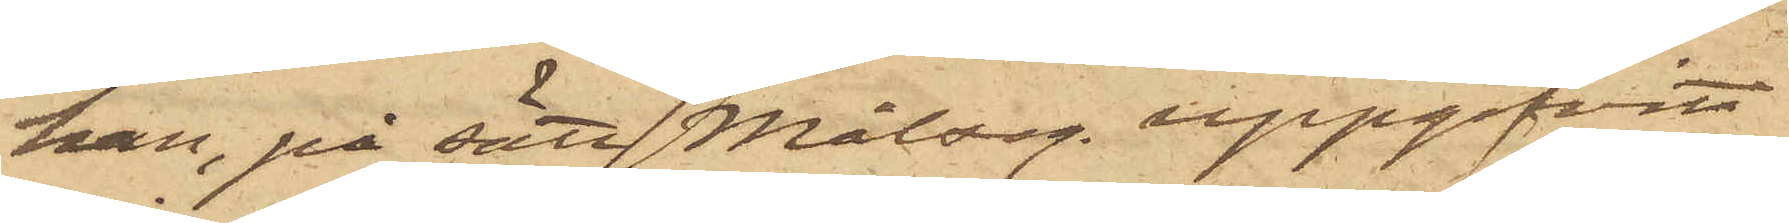han, på sätt Målseg. uppgifvit
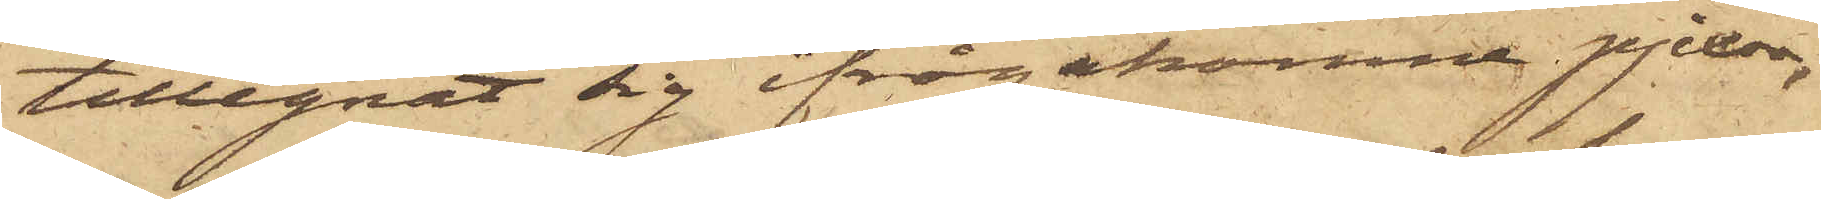tillegnat sig ifrågakomne pjexor,
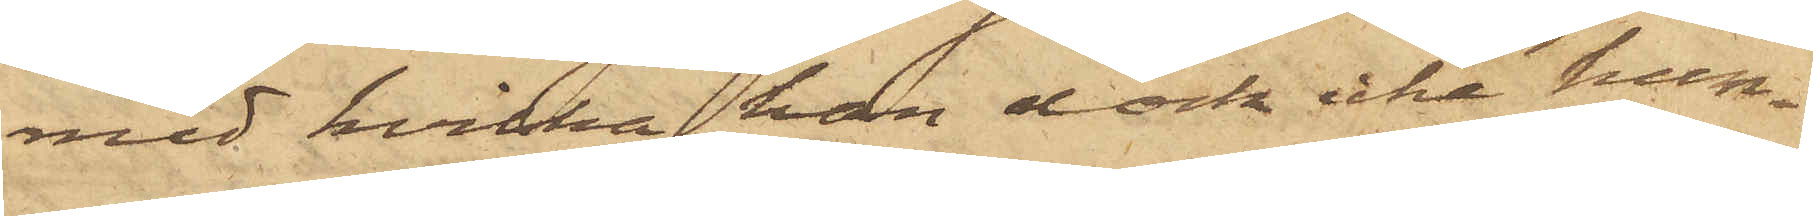med hvilka han dock icke hun¬
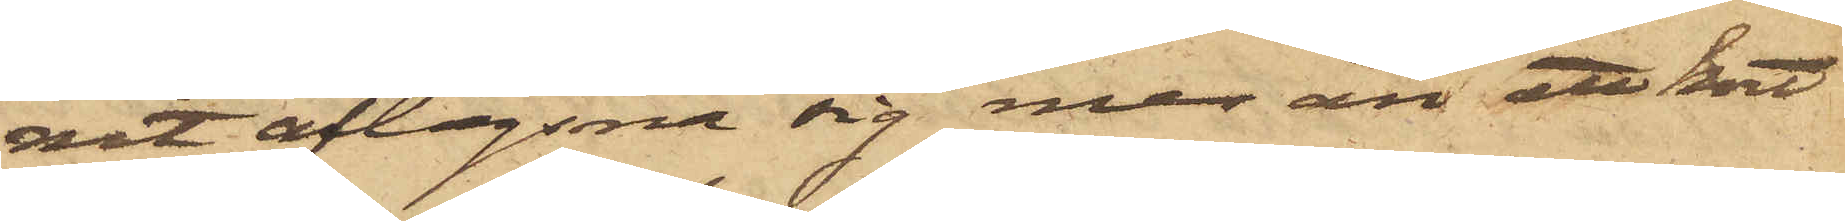nit aflägsna sig mer än ett kort
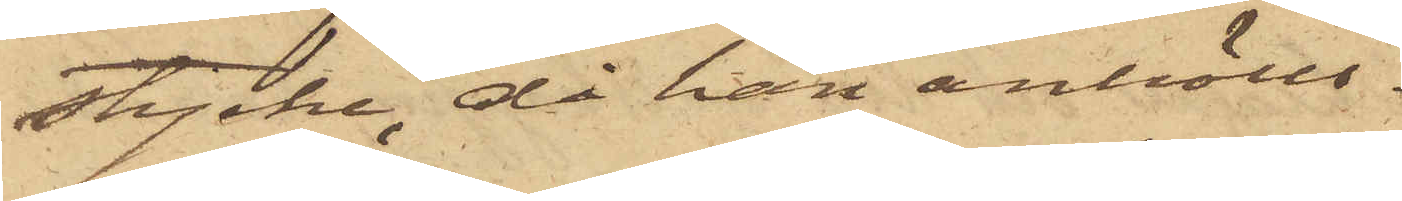stycke, då han anhölls.
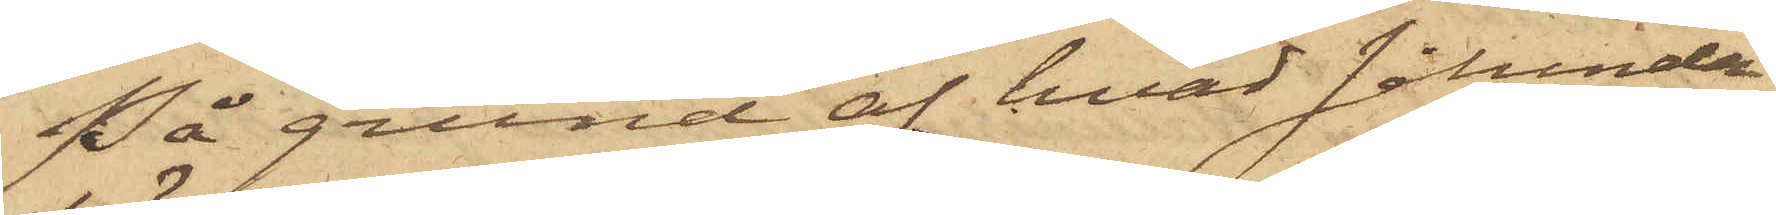På grund af hvad sålunda
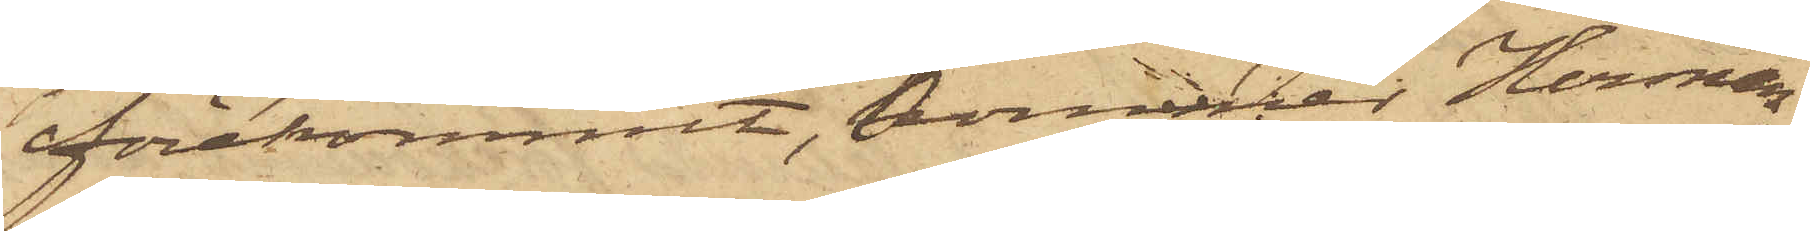förekommit, kommer Herman
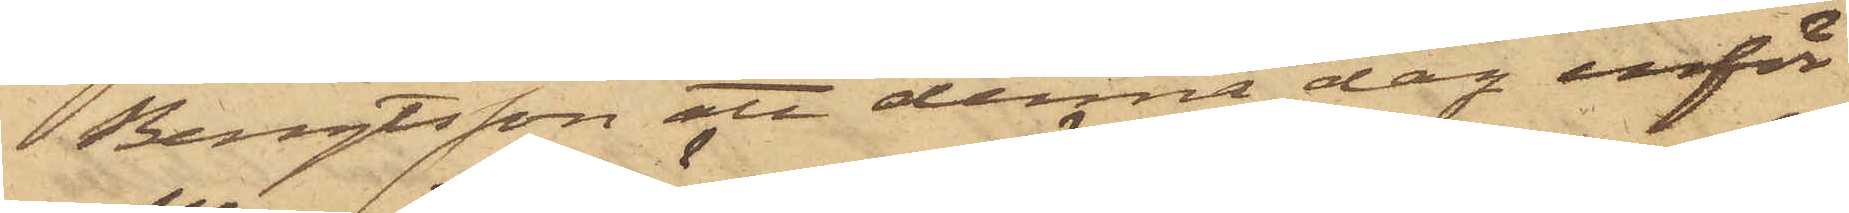Bengtsson att denna dag inför
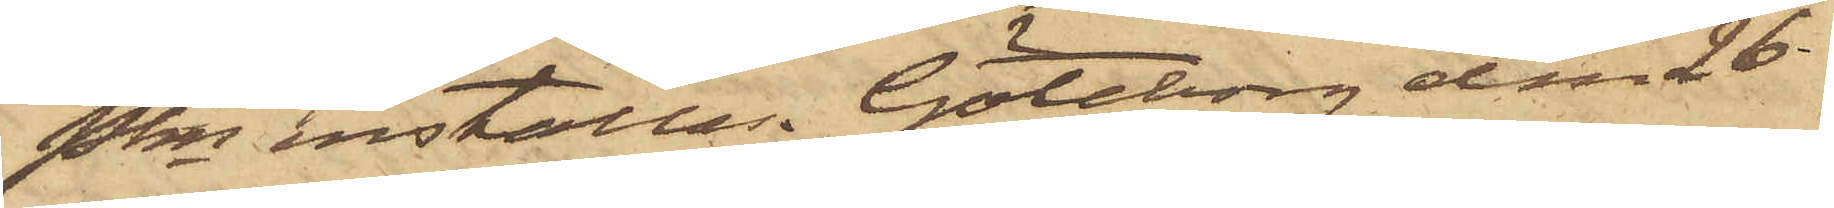Pkn inställas. Göteborg den 26
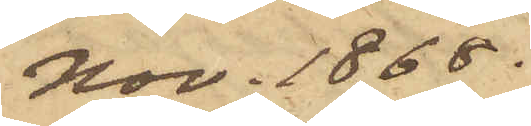Nov. 1868.
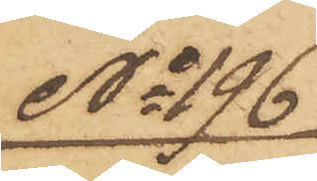No 196
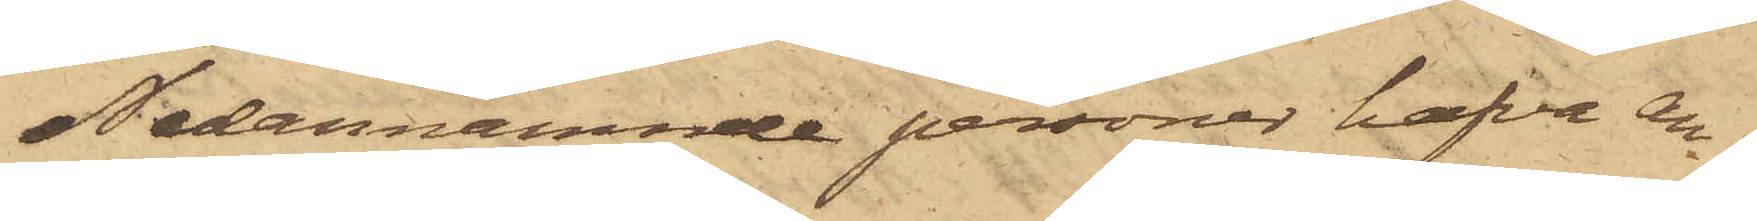Nedannämnde personer hafva an¬
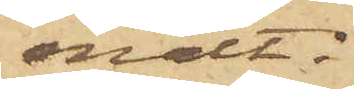mält:
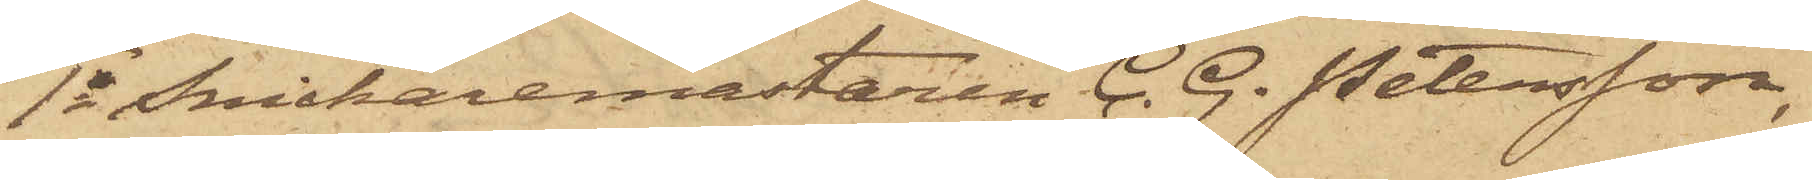1o Snickaremästaren C. G. Petersson,
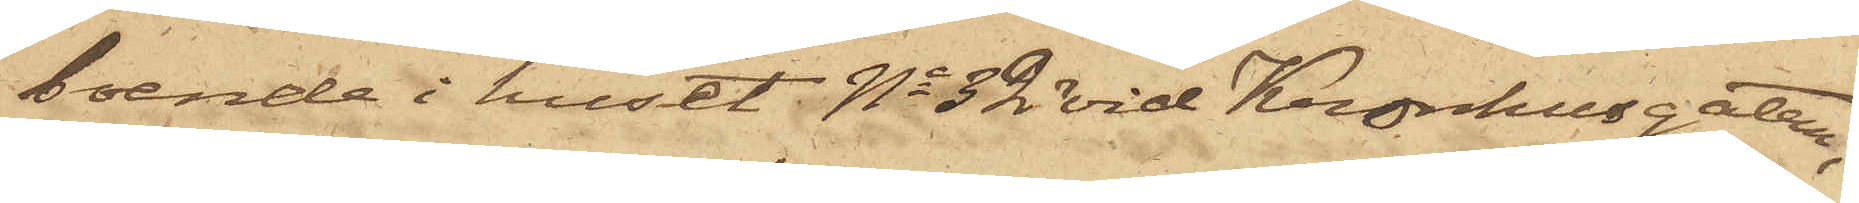boende i huset No 32 vid Kronhusgatan,
